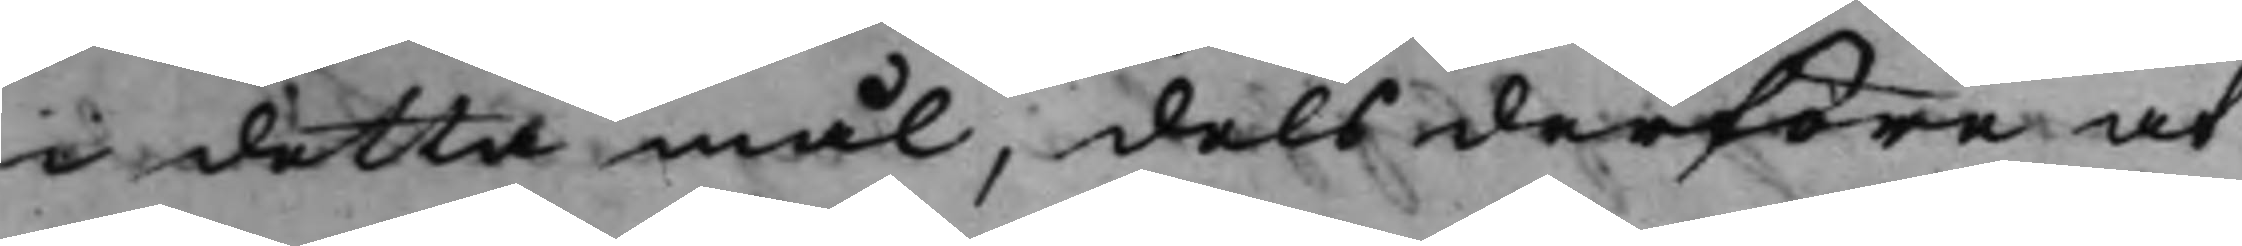i detta mål, dels derföre at
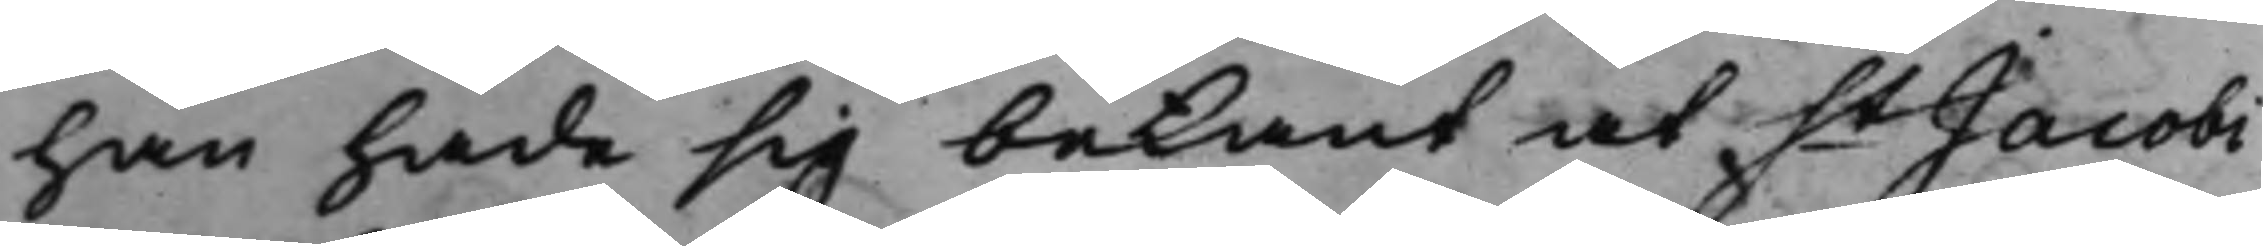han hade sig bekant at St Jacobi 
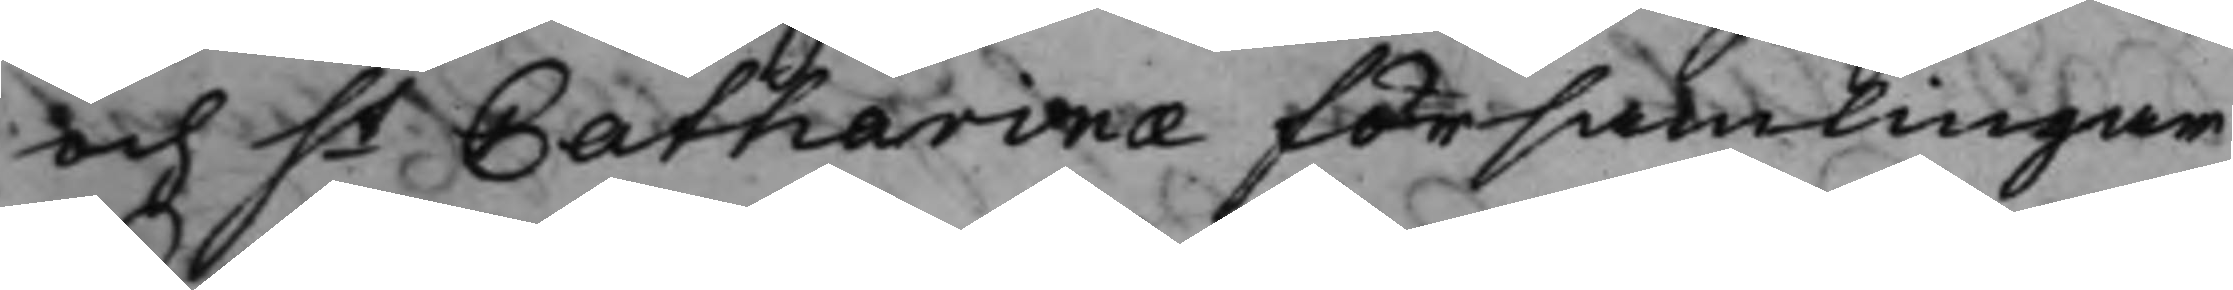och St Catharinae Församlingar 
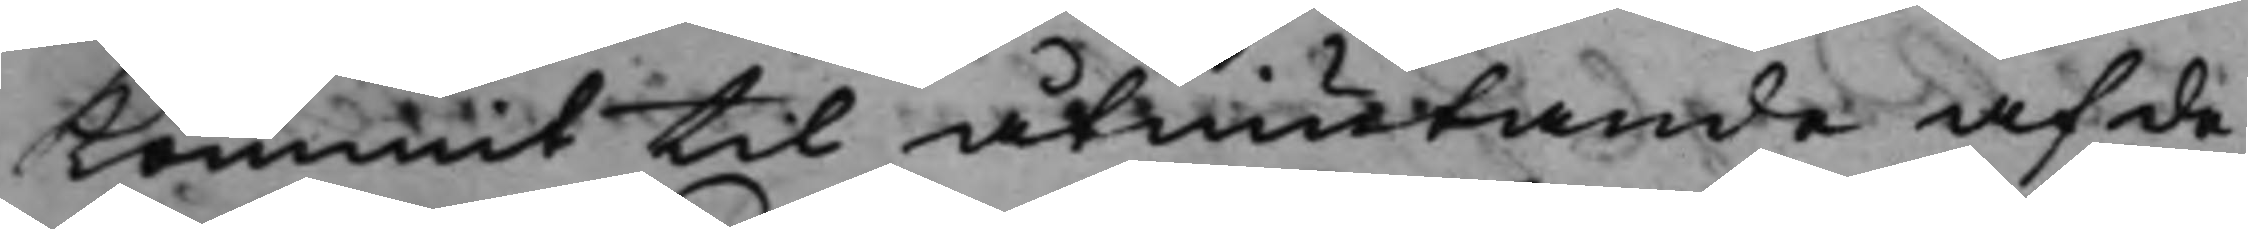Kommit til åtniutande af de
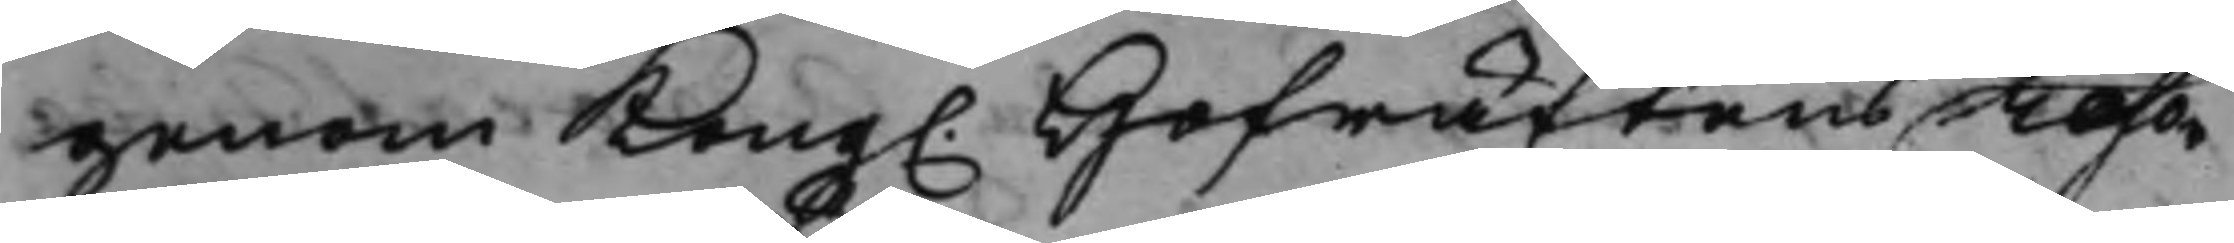genom Kong. Hofrättens reso¬ 
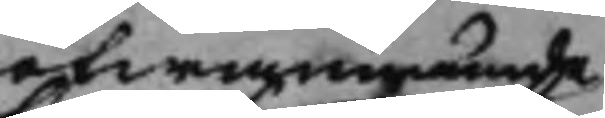ofwannämnde
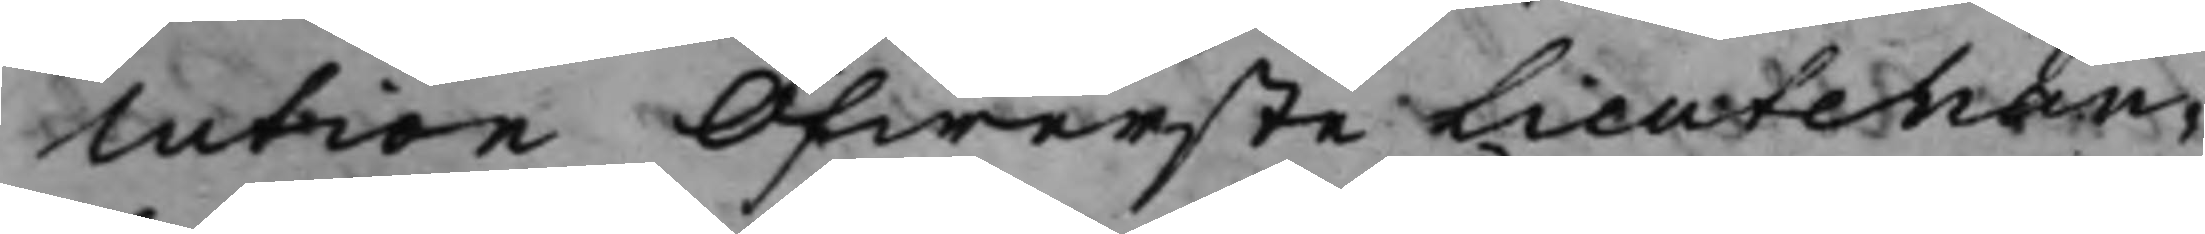lution ÖfwersteLieutenan¬
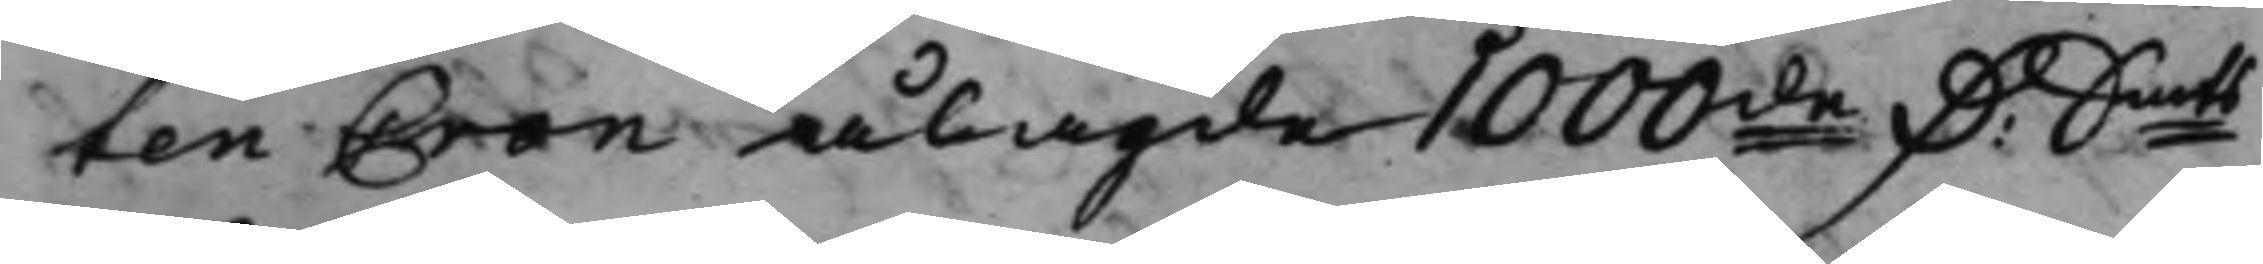ten Cron ålagde 1000de D. Smts 
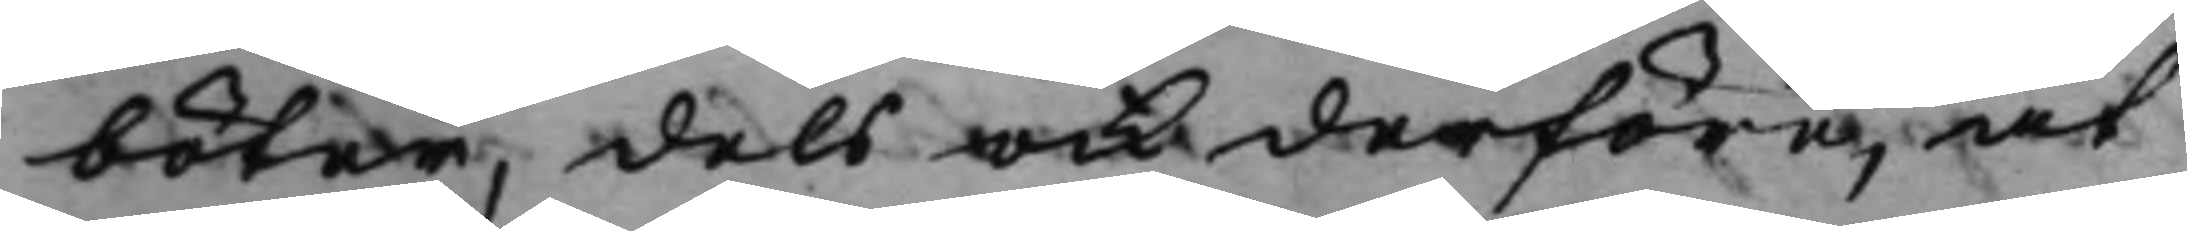böter, dels och derföre, at
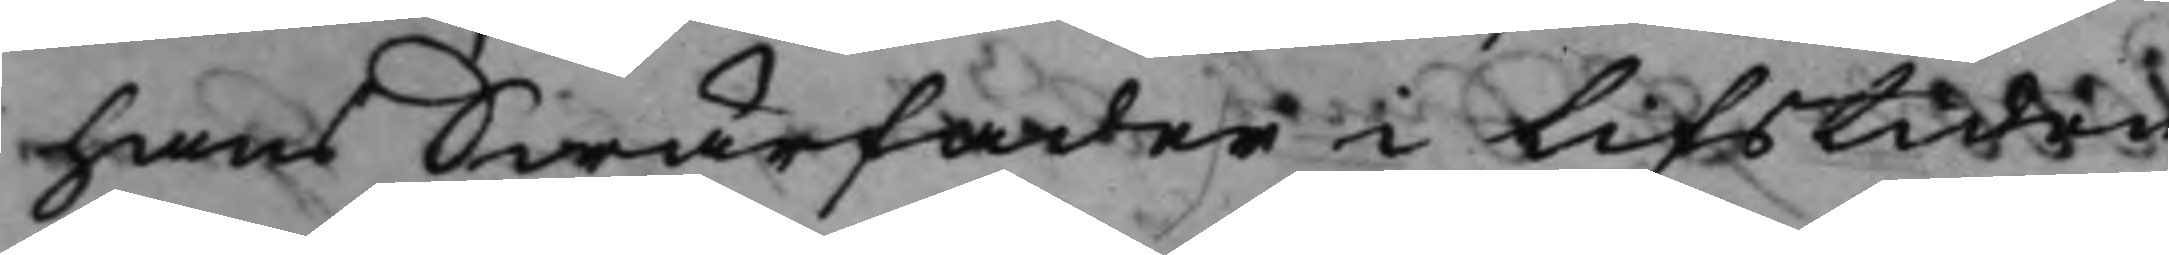hans Swärfader i lifstiden
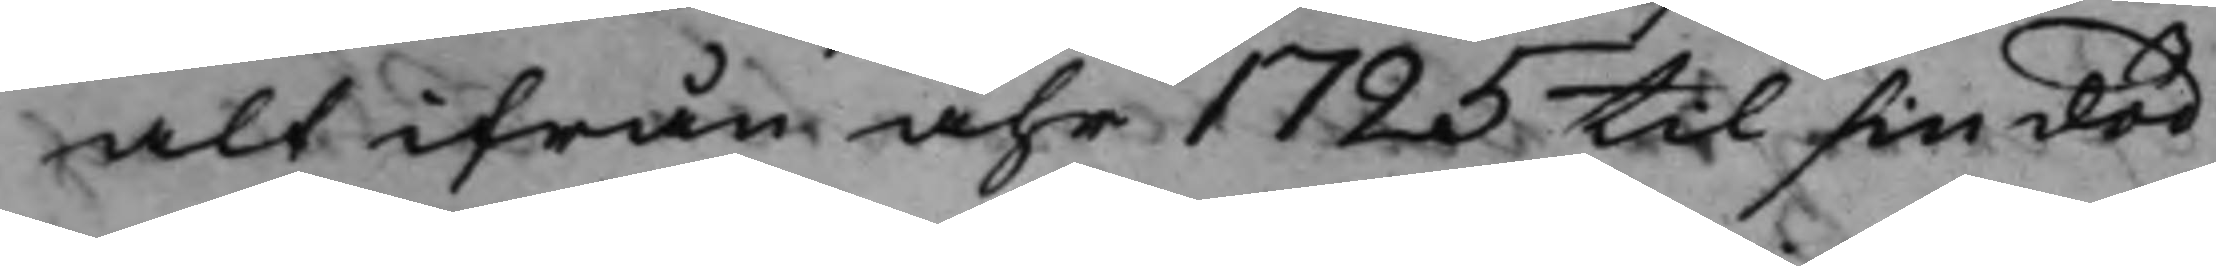alt ifrån åhr 1725 til sin död
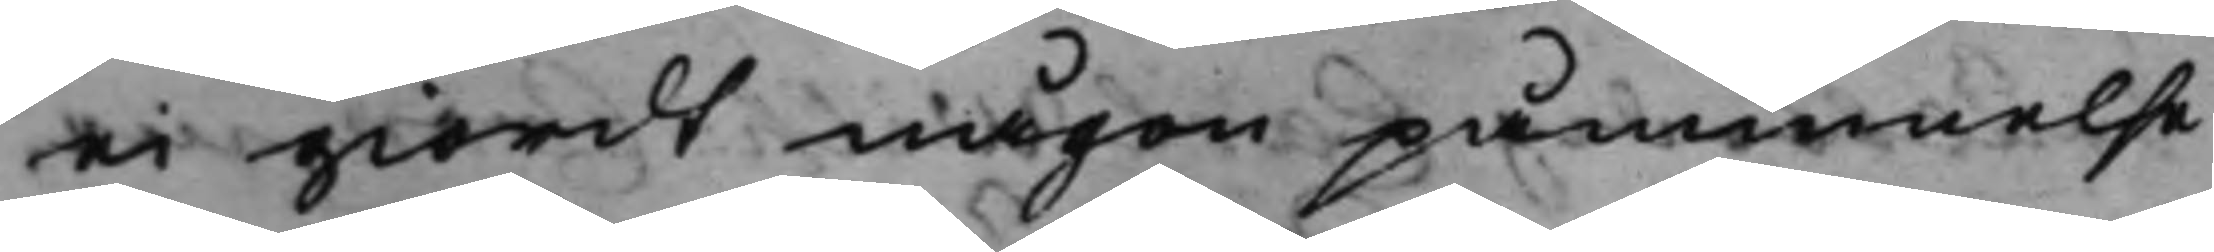ei giordt någon påminnelse
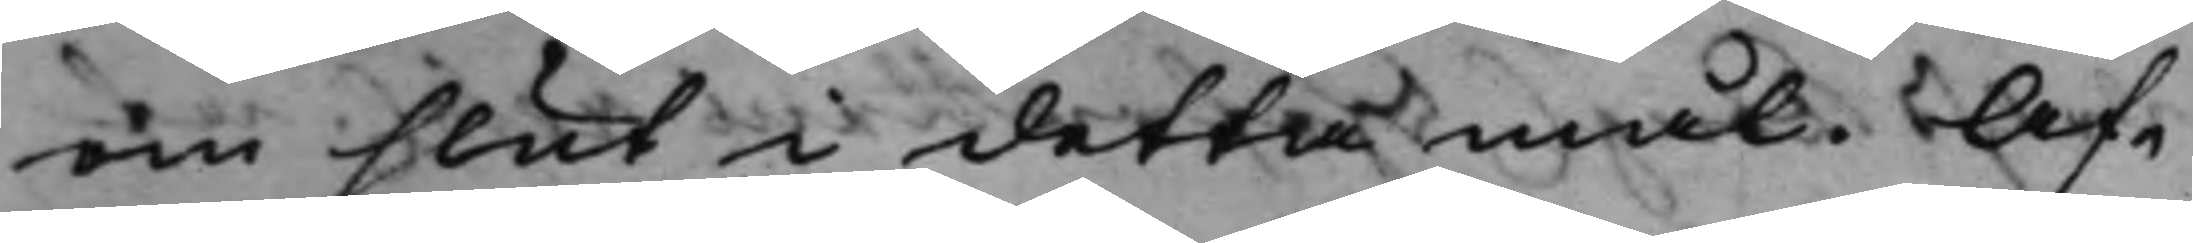om slut i detta mål. Af¬
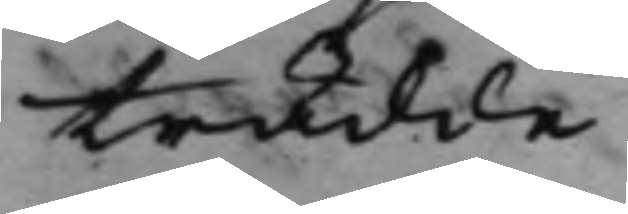trädde.
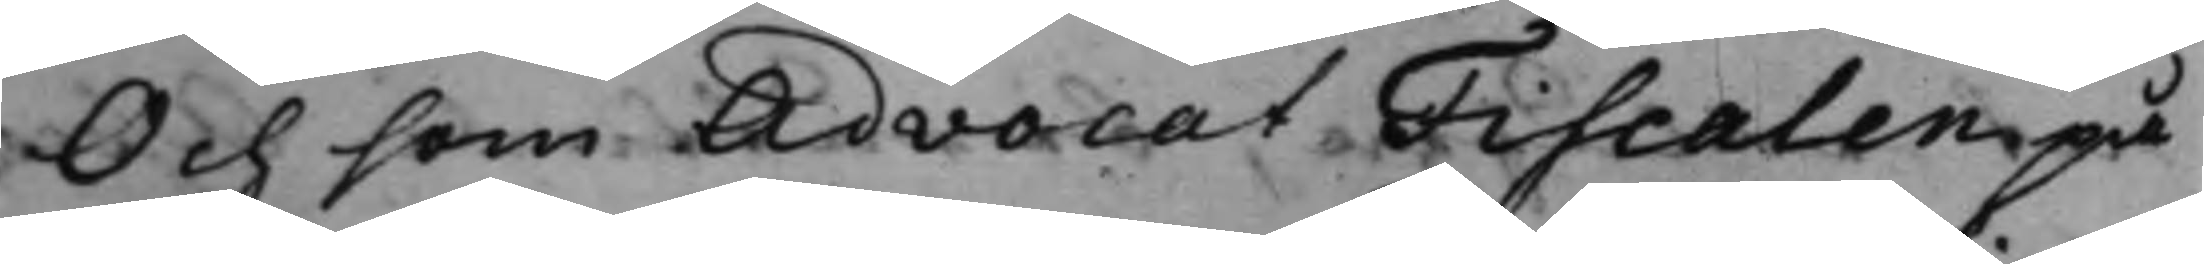Och som AdvocatFiscalen på
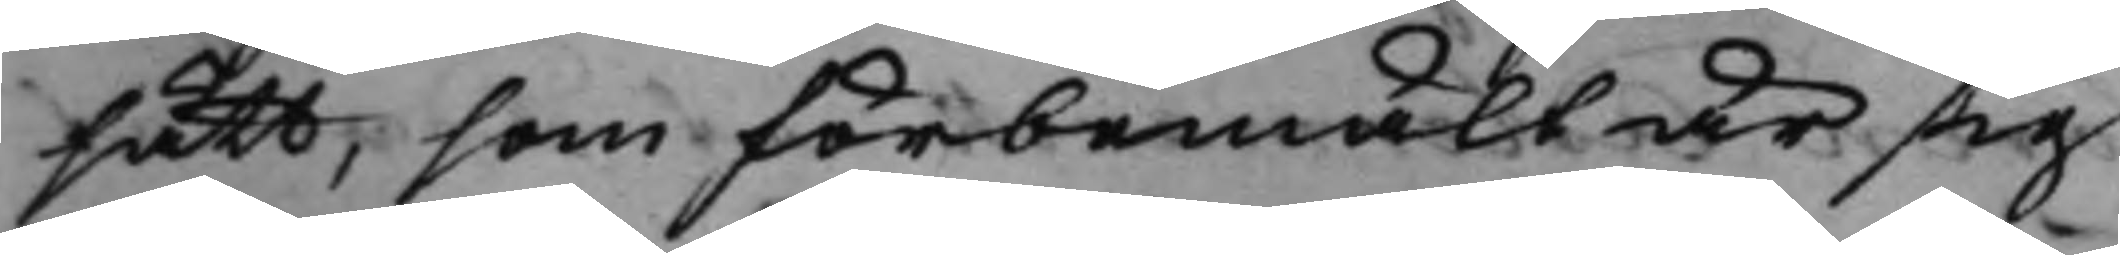sätt, som förbemält är sig
